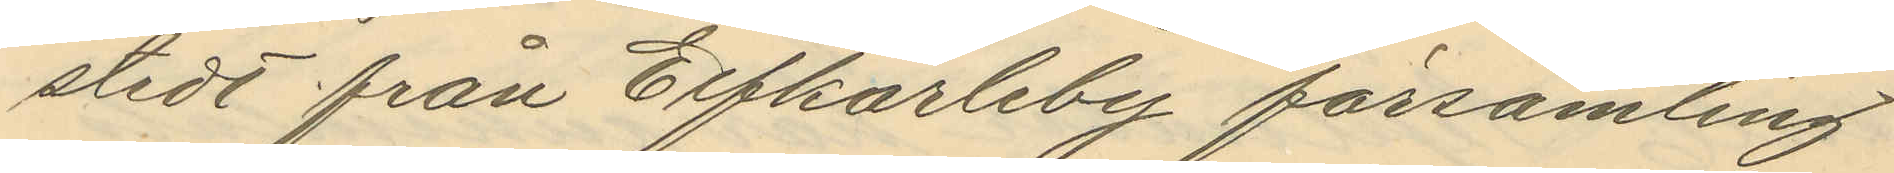stedt från Elfkarleby församling
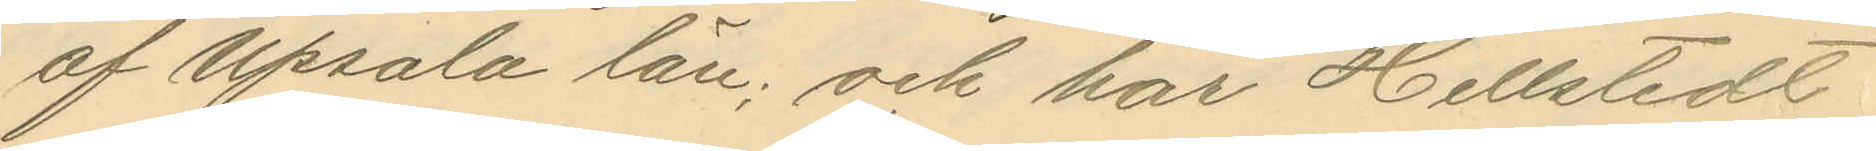af Upsala län; och har Hellstedt
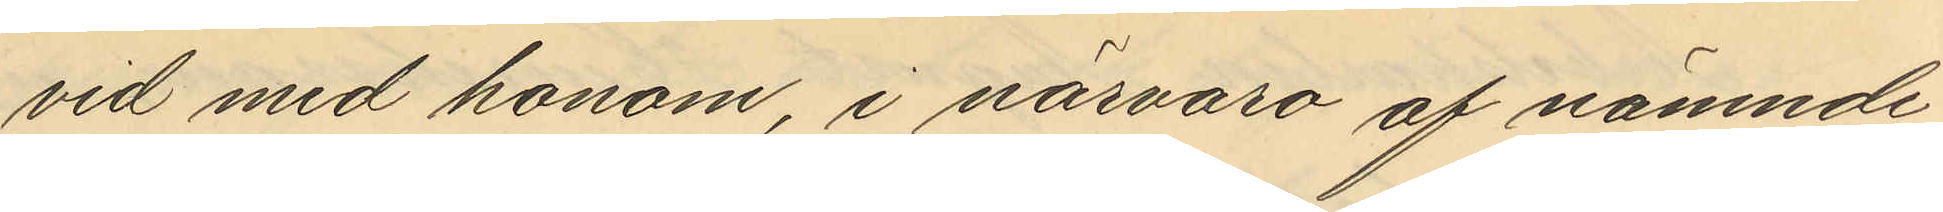vid med honom, i närvaro af nämnde
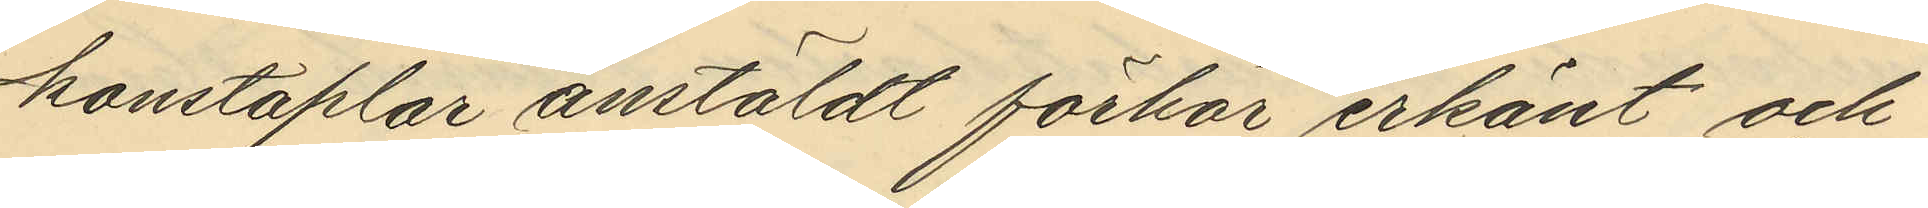konstaplar anstäldt förhör erkänt och
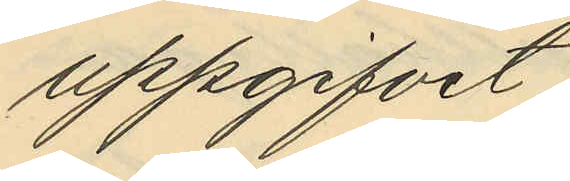uppgifvit,
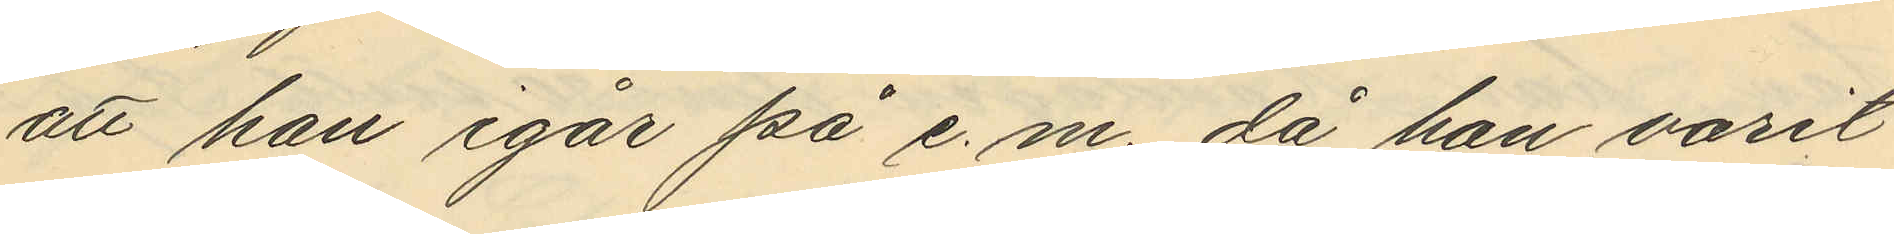att han igår på e.m. då han varit
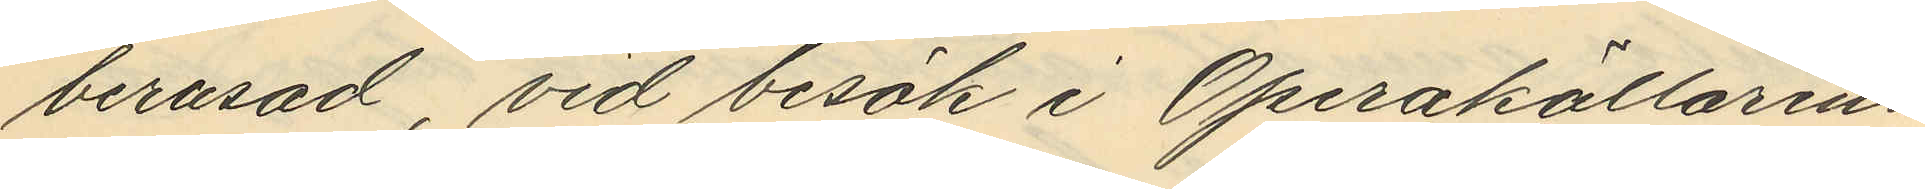berusad, vid besök i Operakällarens
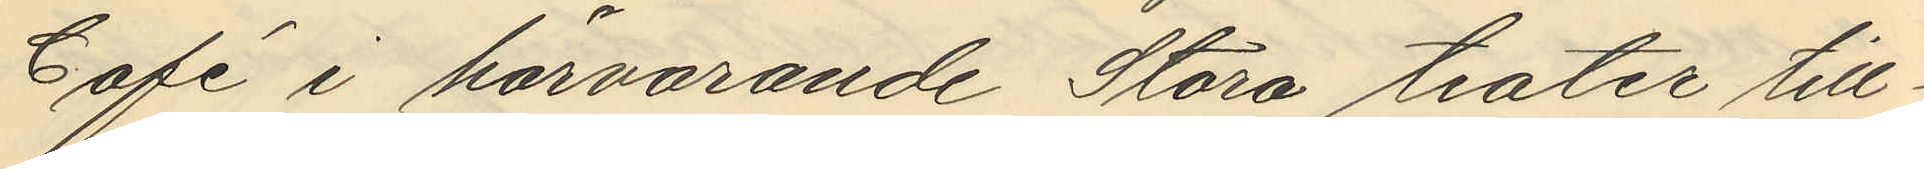Café i härvarande Stora teater till¬
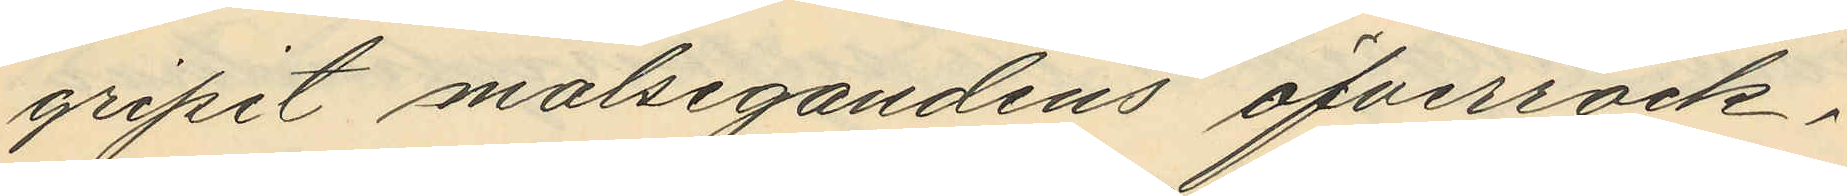gripit målsegandens öfverrock;
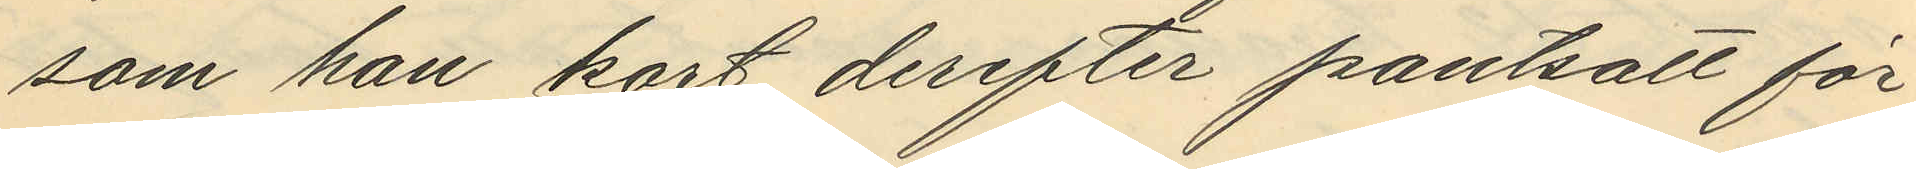som han kort derefter pantsatt för
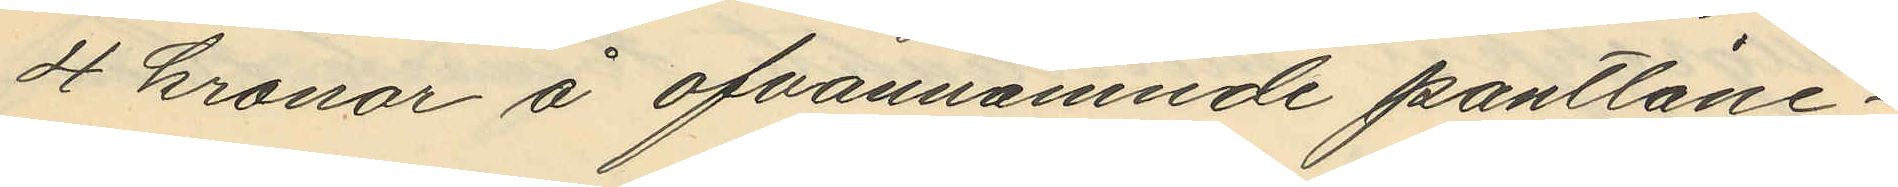4 kronor å ofvannämnde pantlåne¬
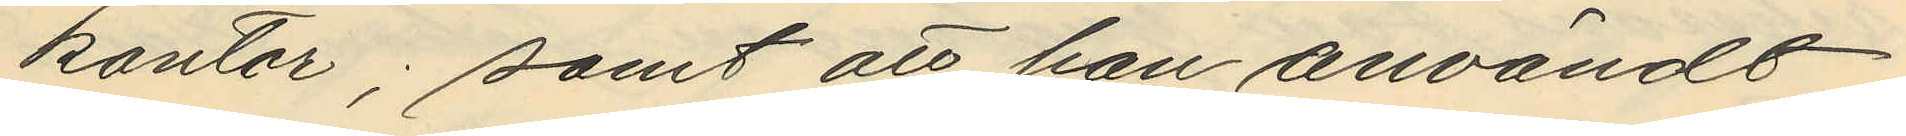kontor; samt att han användt
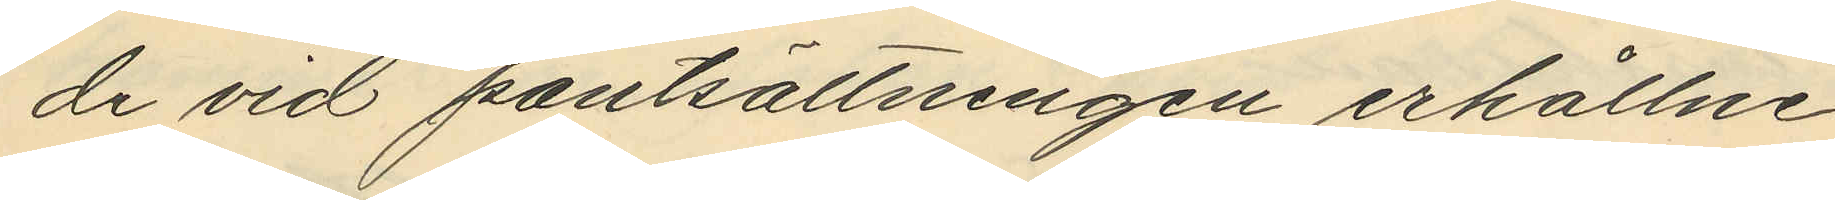de vid pantsättningen erhållne
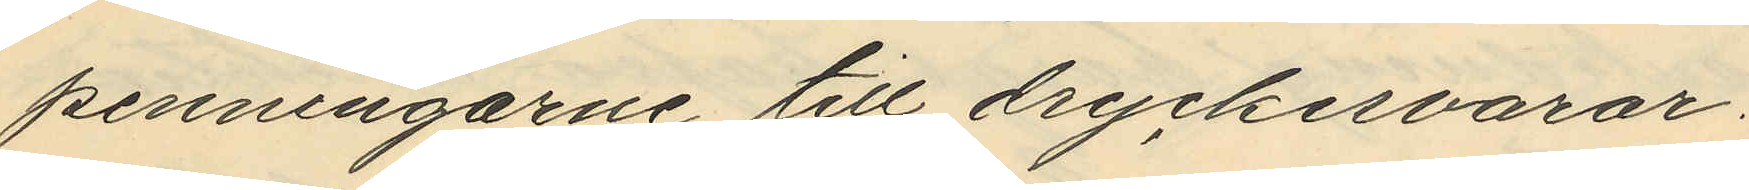penningarne till dryckervaror.
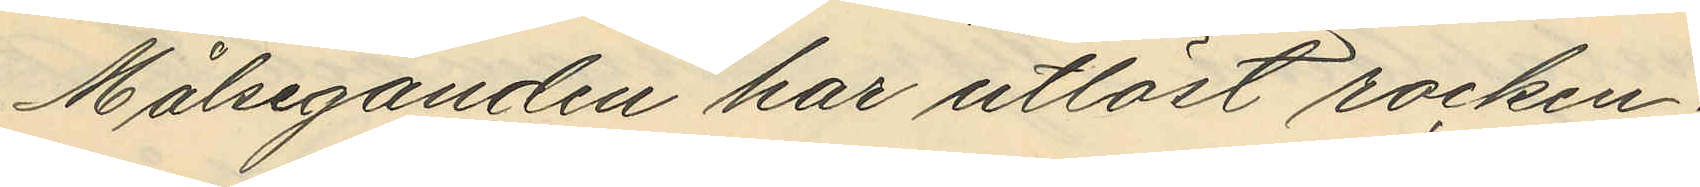Målseganden har utlöst rocken.
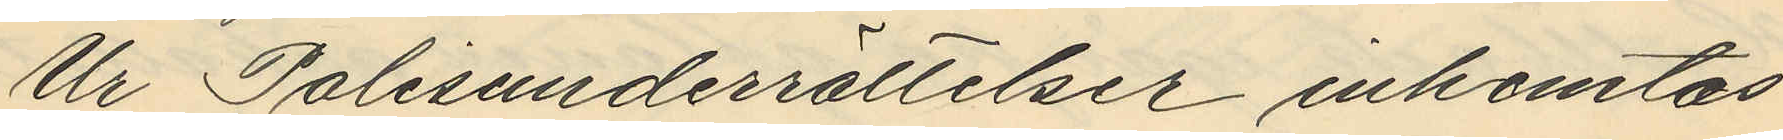Ur Polisunderrättelser inhemtas
